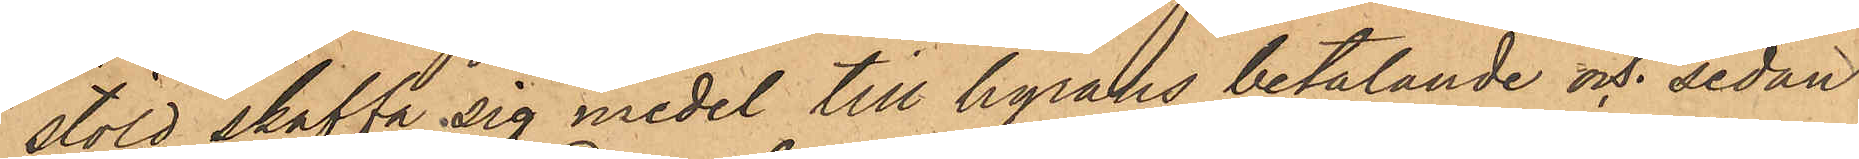stöld skaffa sig medel till hyrans betalande och sedan
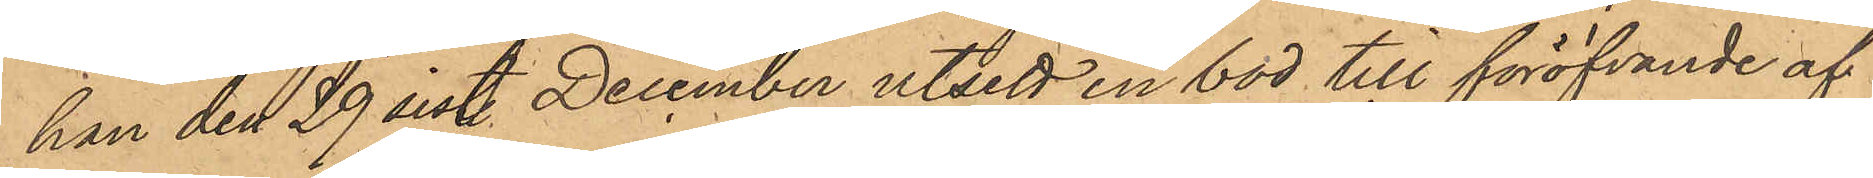han den 29 sist. December utsett en bod till föröfvande af
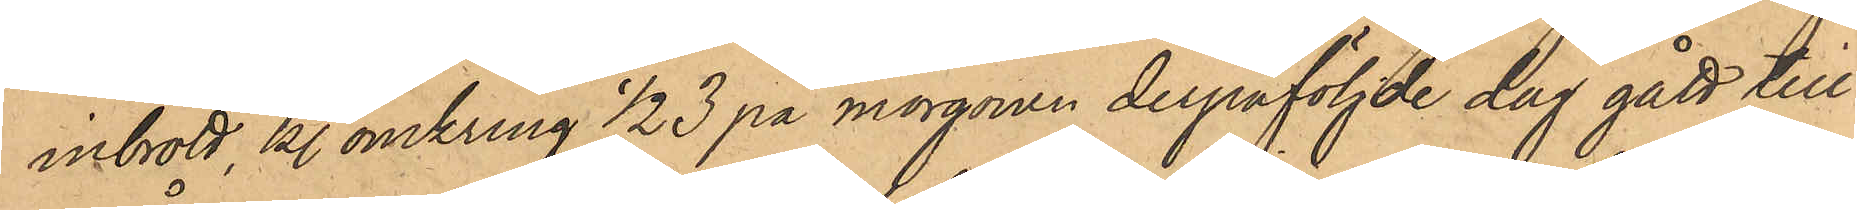inbrott, kl omkring 1/2 3 på morgonen derpåföljde dag gått till
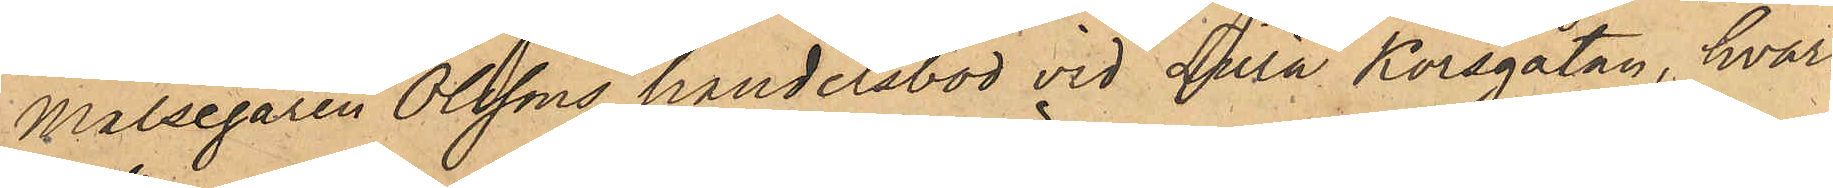Målsegaren Olssons handelsbod vid Lilla Korsgatan, hvar¬
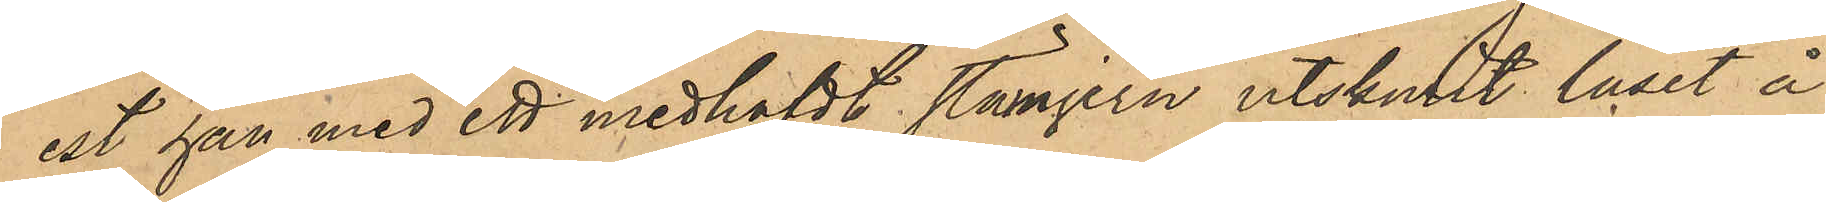est han med ett medhafdt stämjern utskurit låset å
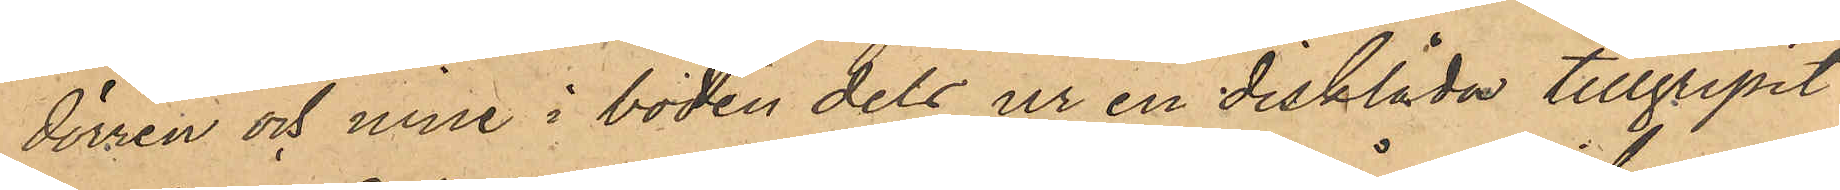dörren och inne i boden dels ur en disklåda tillgripit
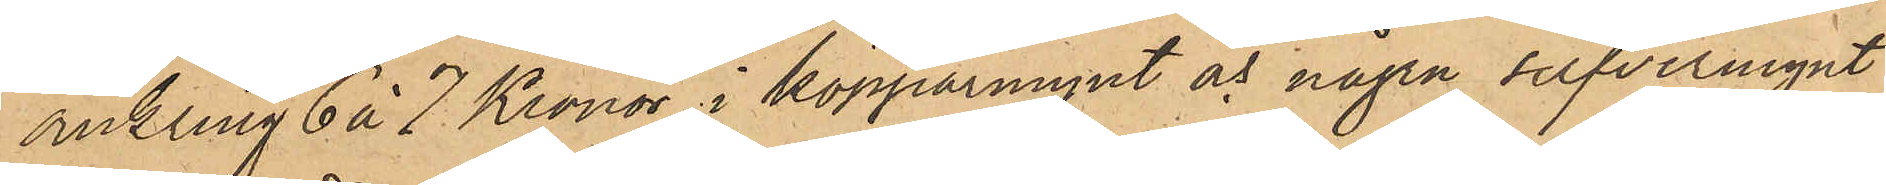omkring 6 á 7 Kronor i kopparmynt och någre silfvermynt
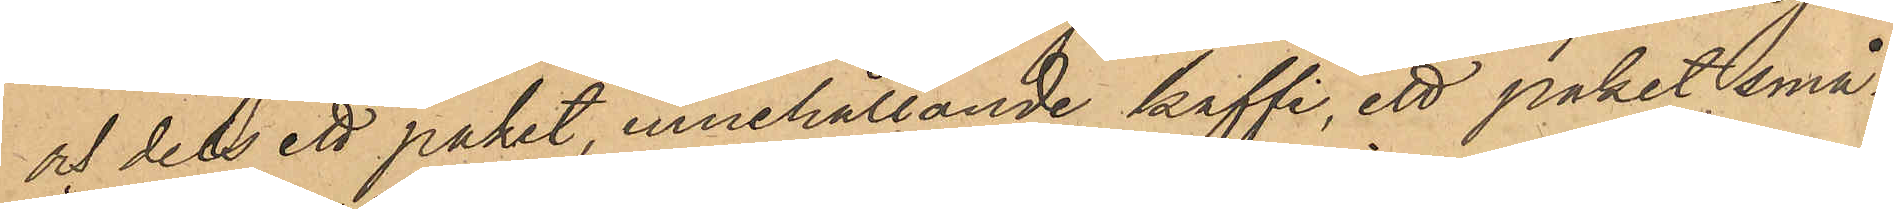och dels ett paket, innehållande kaffe, ett paket små¬
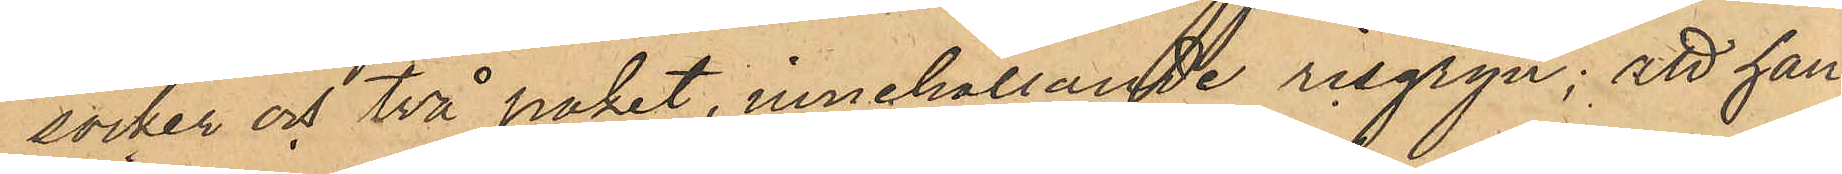socker och två paket, innehållande risgryn; att han
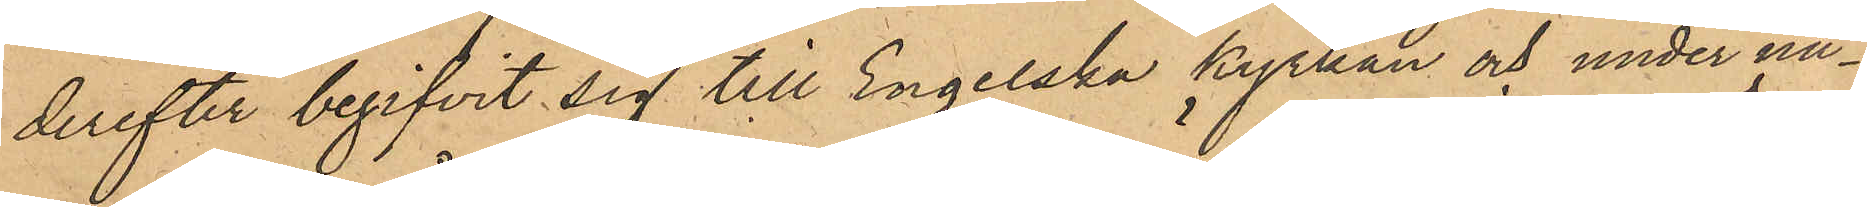derefter begifvit sig till Engelska kyrkan och under nå¬
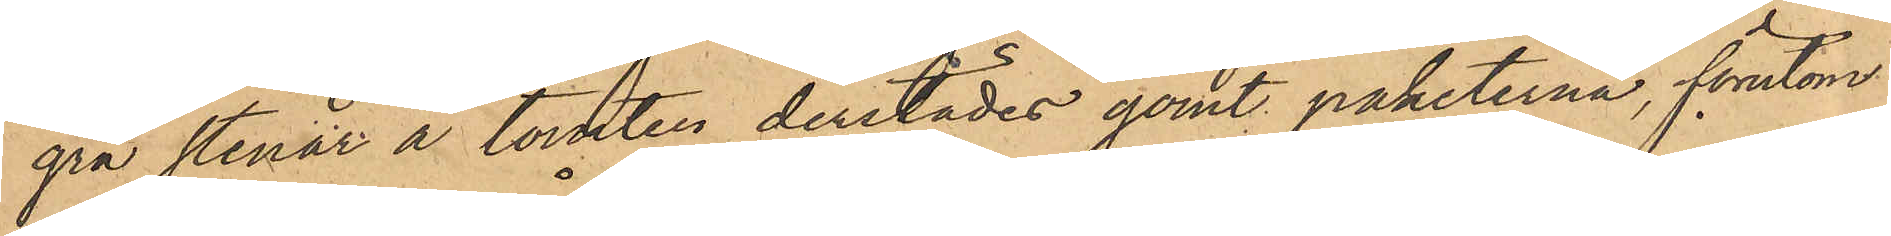gra stenar å tomten derstädes gömt paketerna, förutom
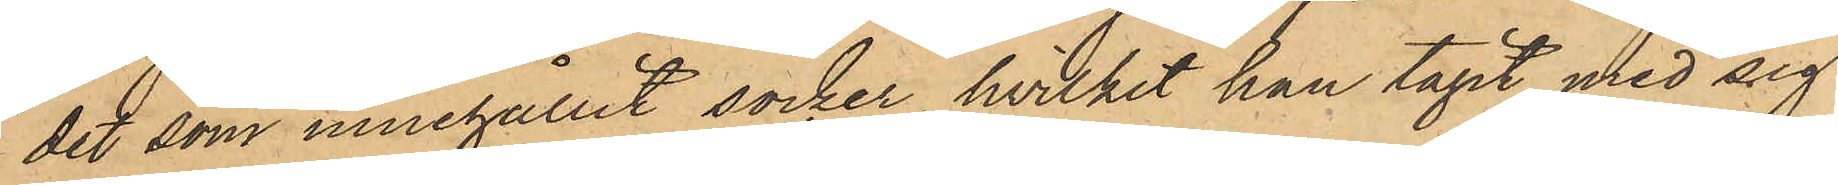det som innehållit socker, hvilket han tagit med sig
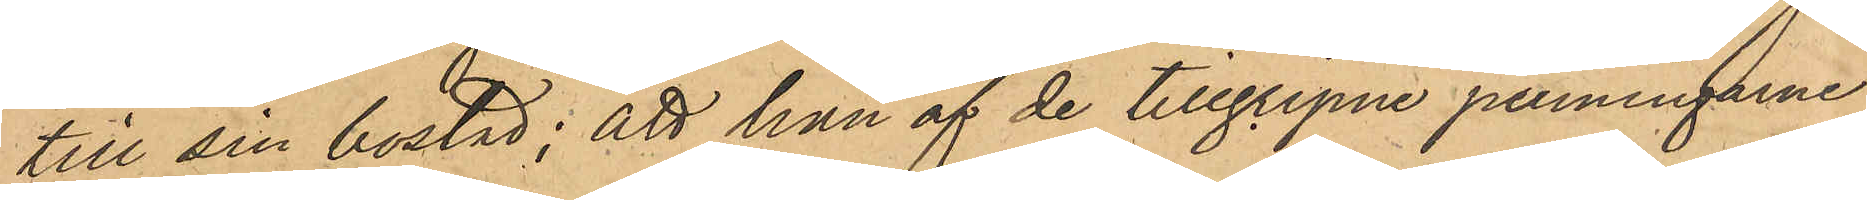till sin bostad; att han af de tillgripne penningarne
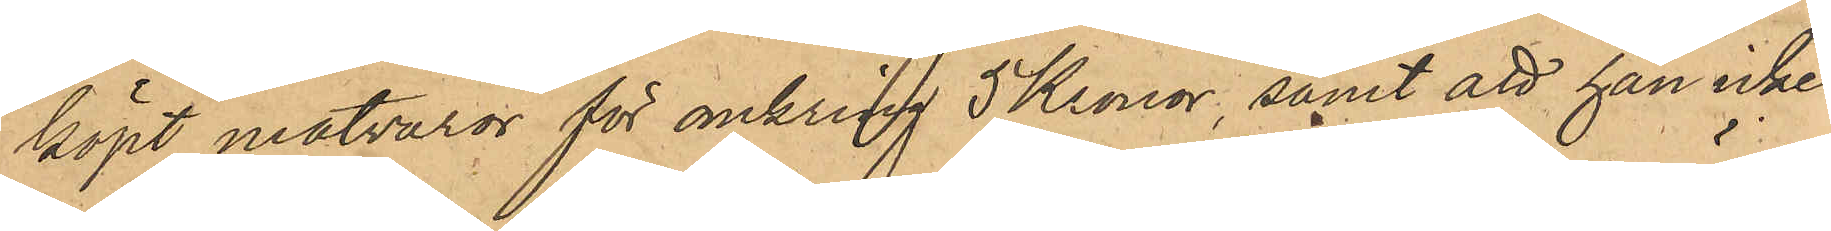köpt matvaror för omkring 5 Kronor samt att han icke
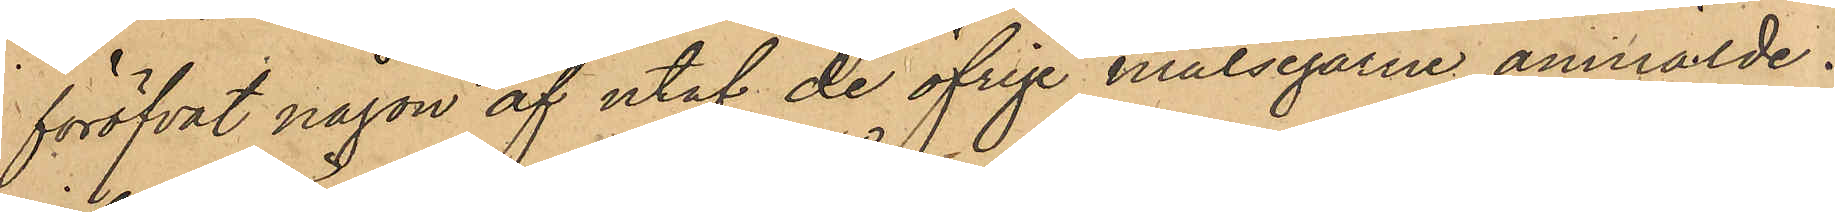föröfvat någon af utaf de öfrige målsegarne anmälde
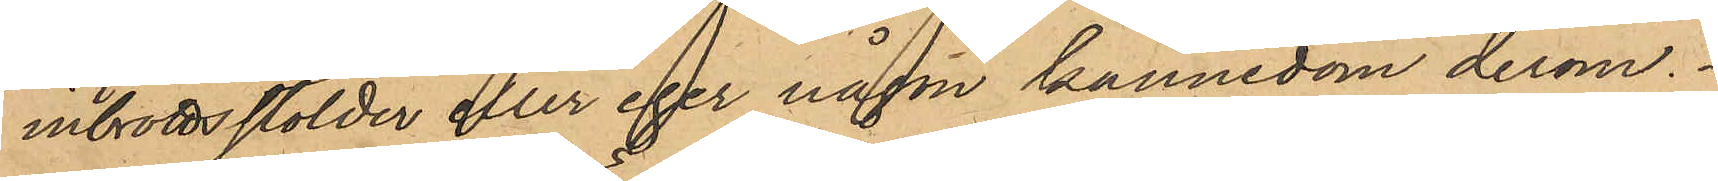inbrottsstölder eller eger någon kännedom derom.
